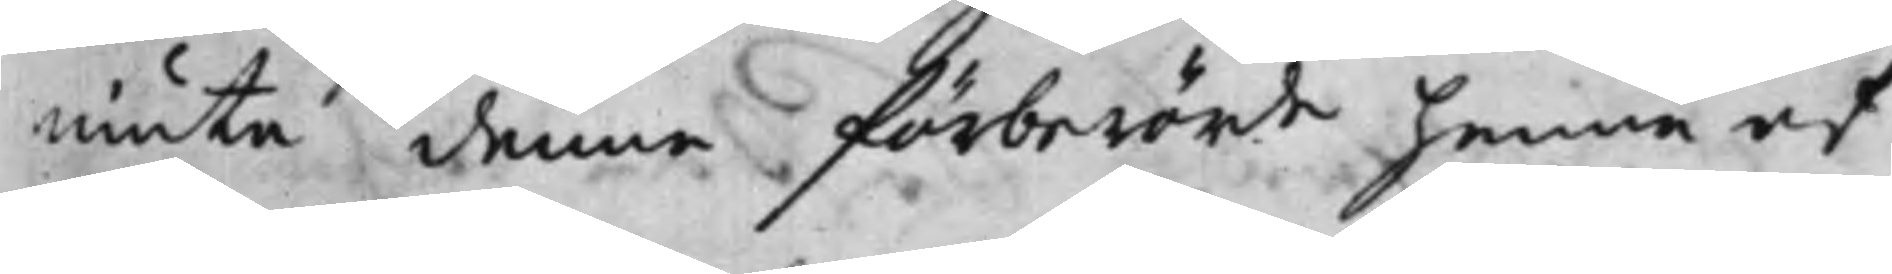niuta denna förberörde henne af
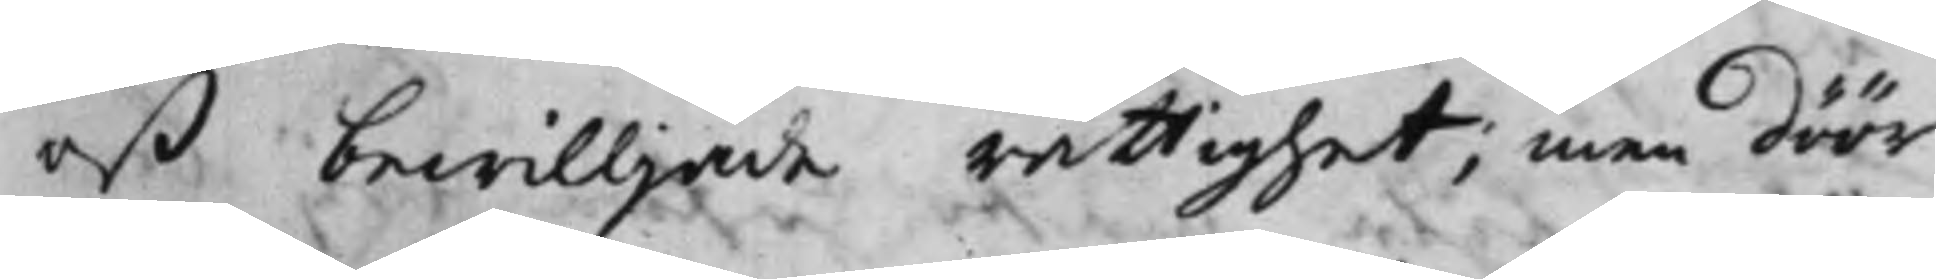oß bewilljade rättighet; Men döör
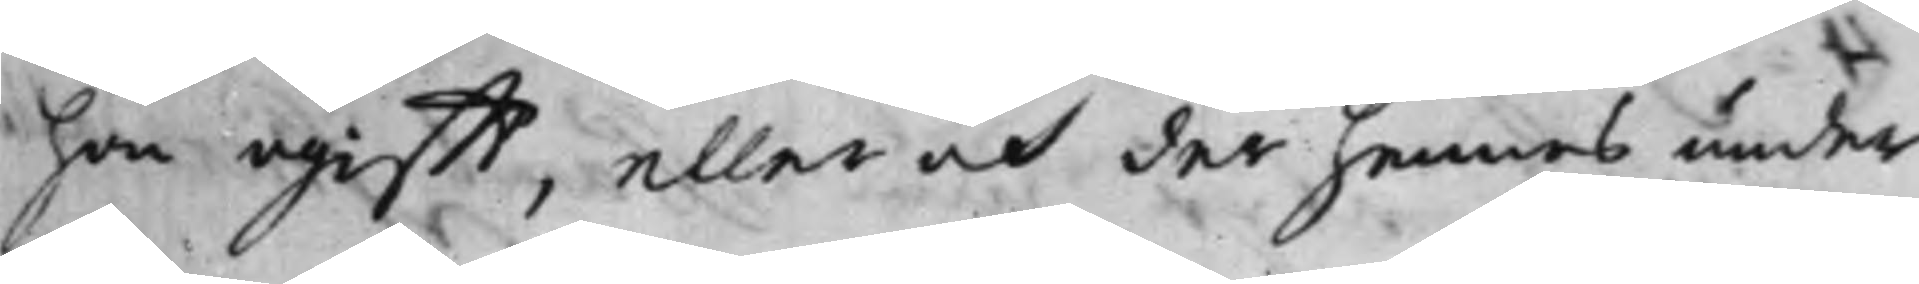hon ogifft, eller och der hennes under
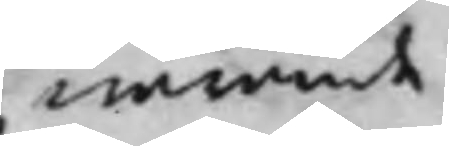warande
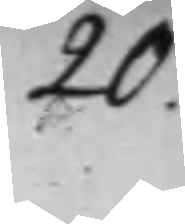20.
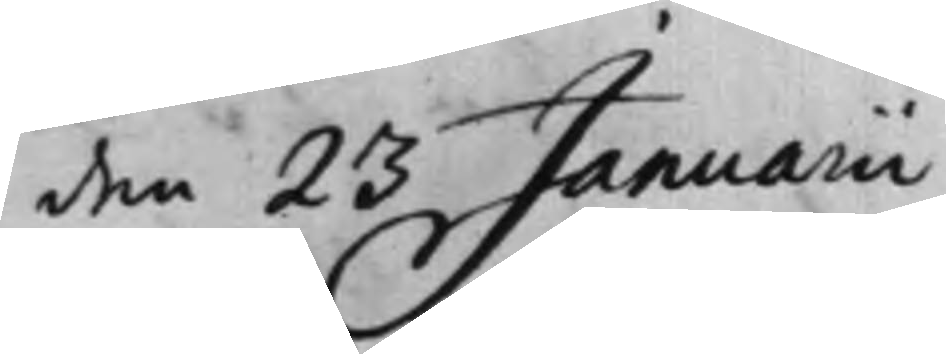den 23 Januarii
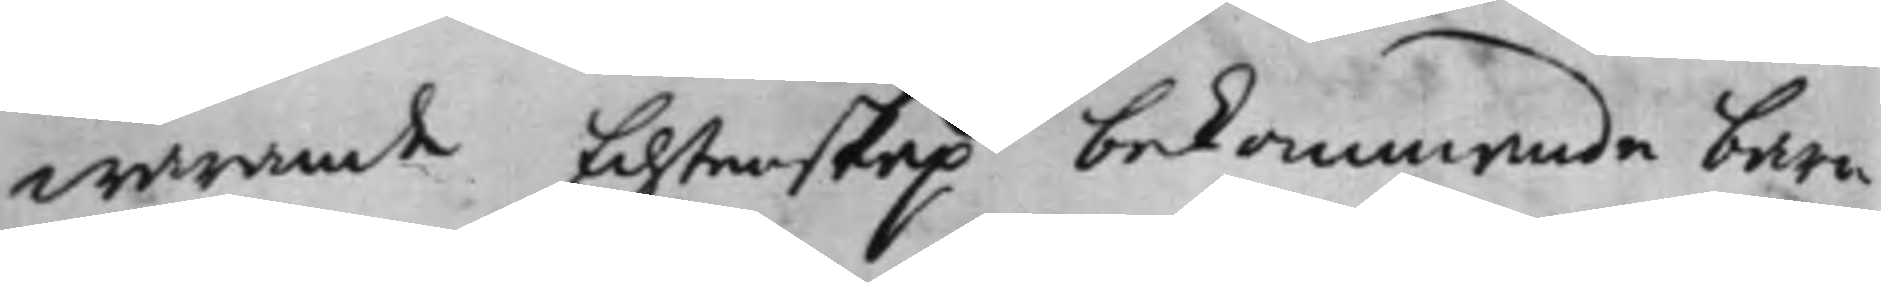warande Echtenskap bekommande barn
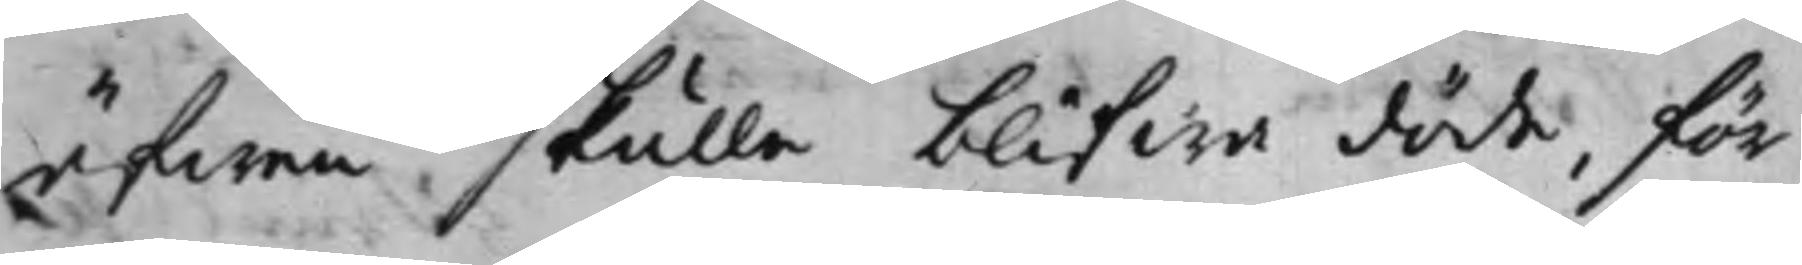äfwen skulle blifwa döde, för
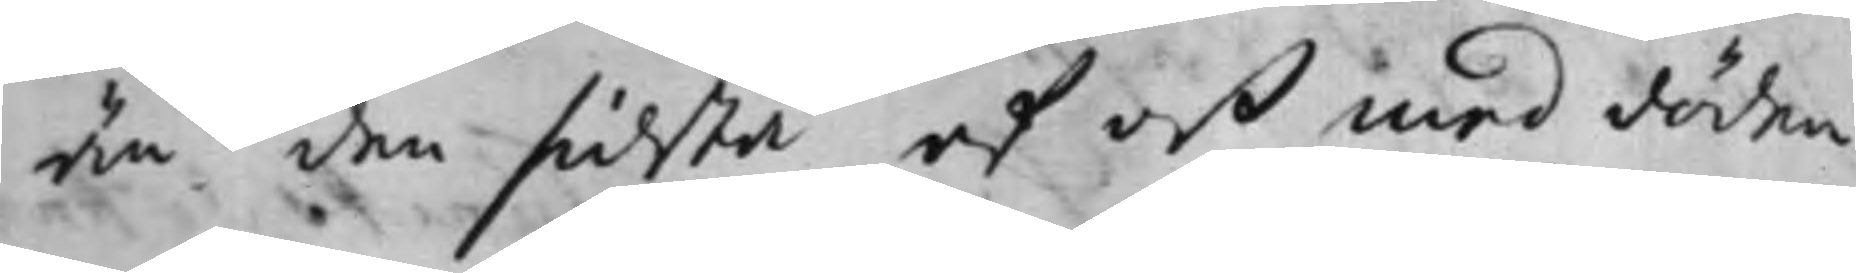än den sidsta af oß med döden
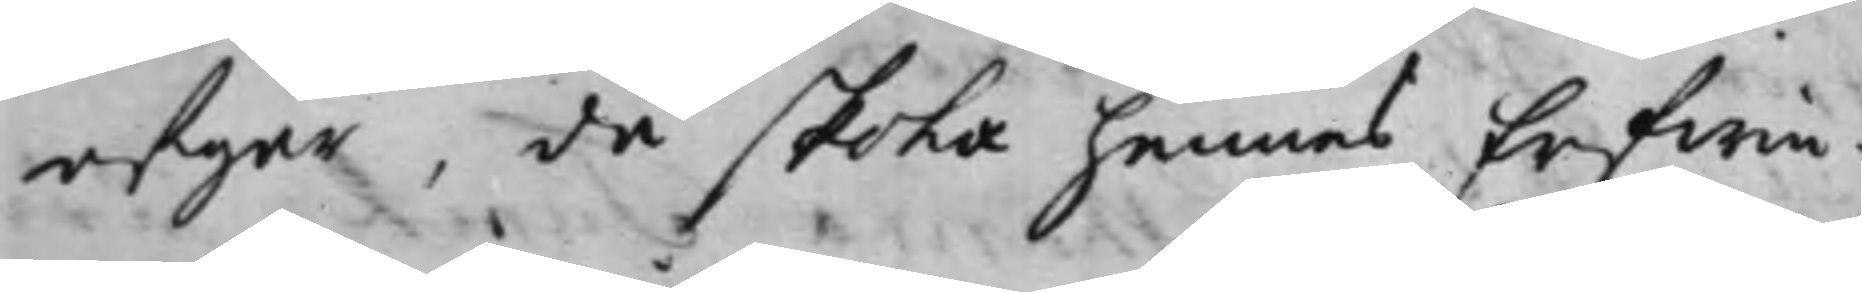afgår, då skola hennes Erfwin¬
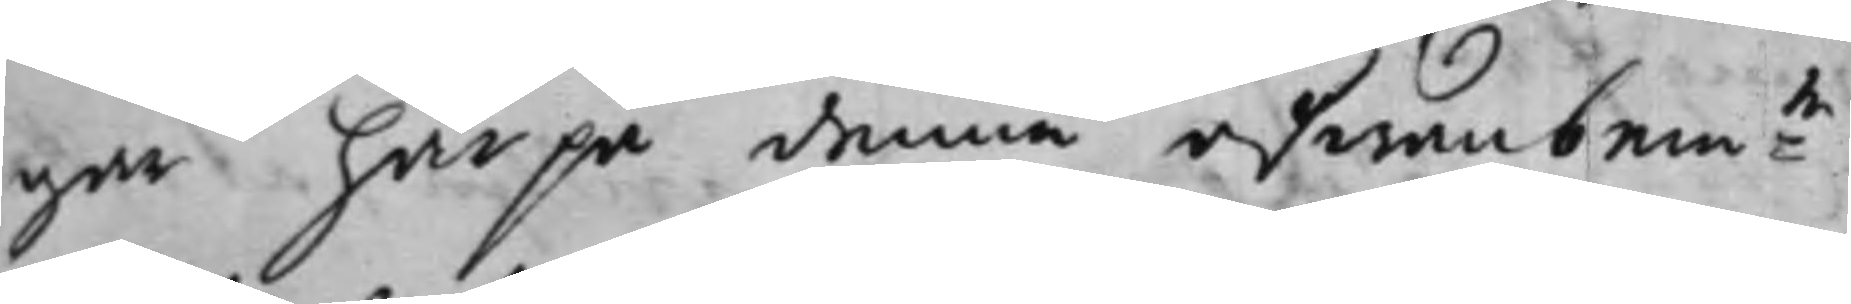gar härpå denna åfwanbem:te
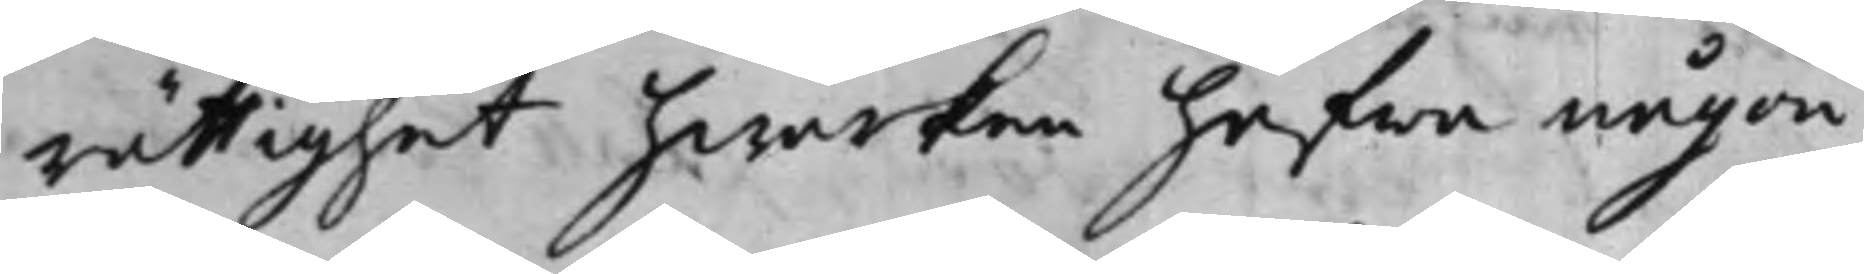rättighet hwarken hafwa någon
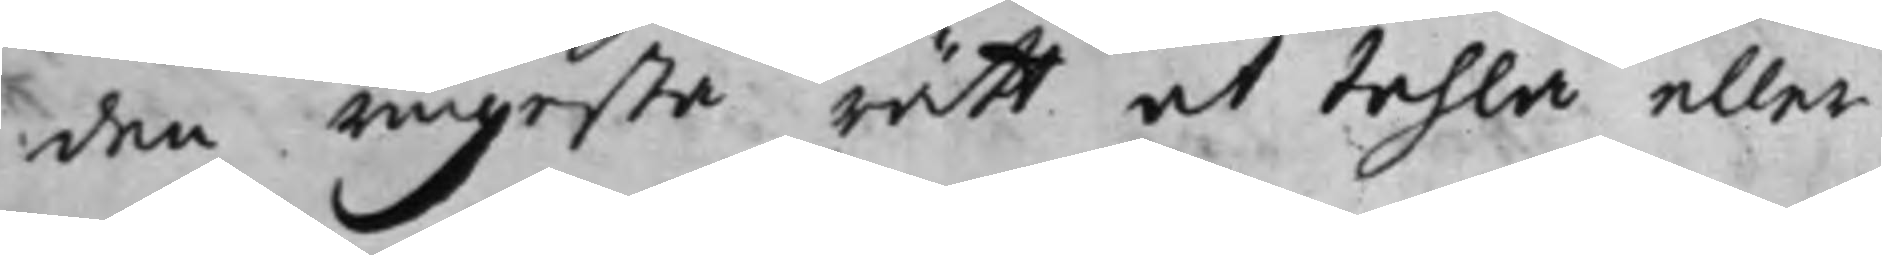den ringesta rätt at tahla eller
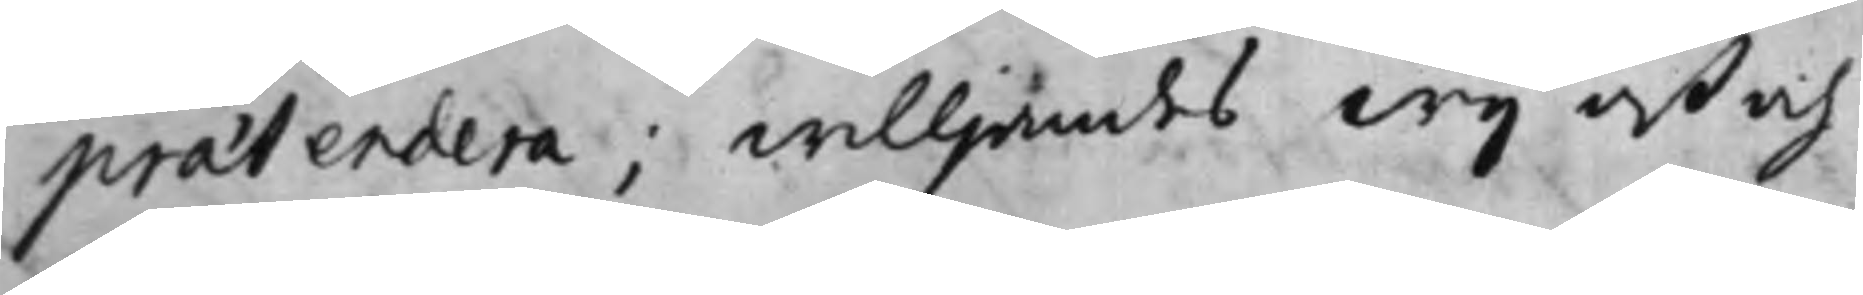praetendera; willjandes Wij oß och
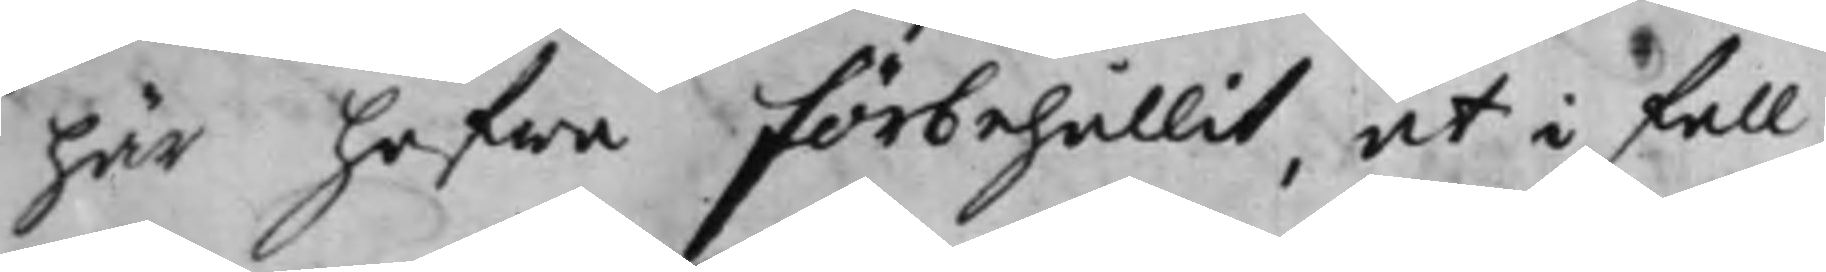här hafwa förbehållt, at i så fall
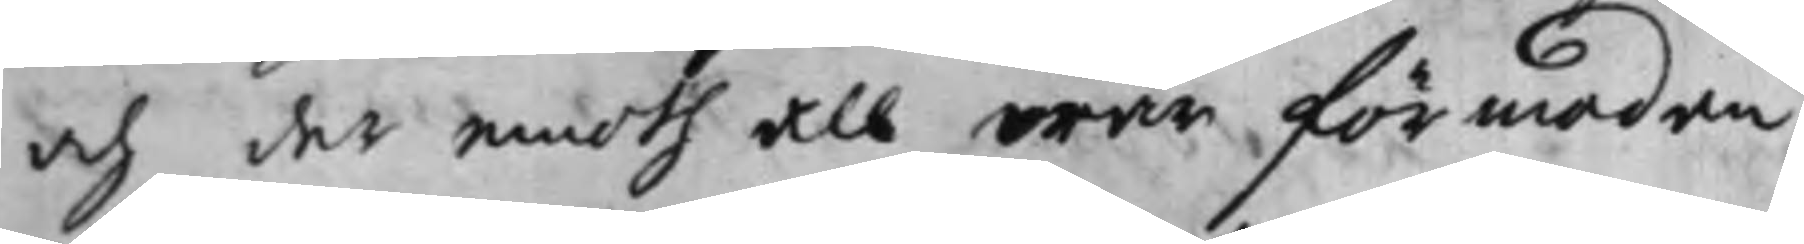och der emoth all wår förmodan
